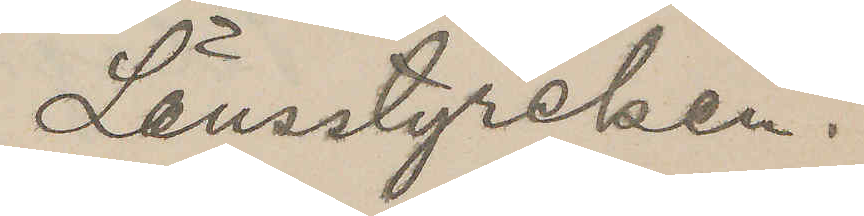Länsstyrelsen.
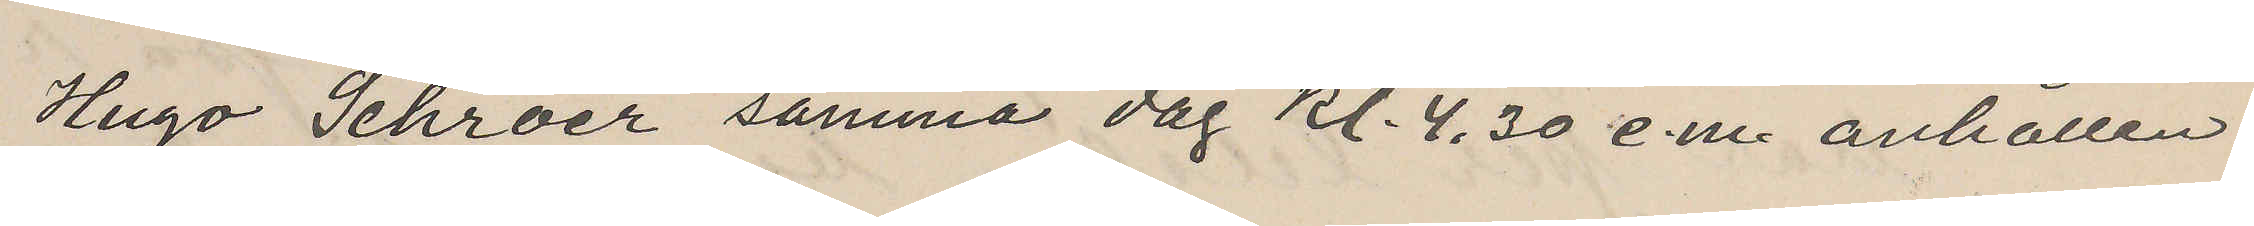Hugo Schröer samma dag kl. 4,30 e.m. anhållen.
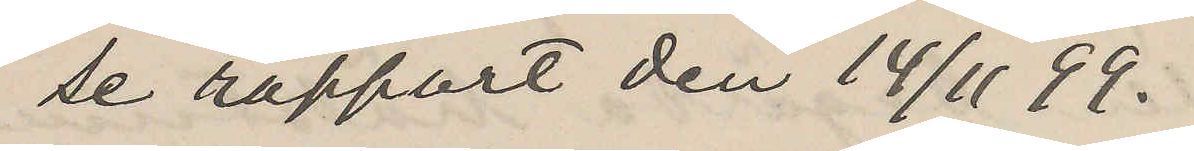Se rapport den 14/11 99.
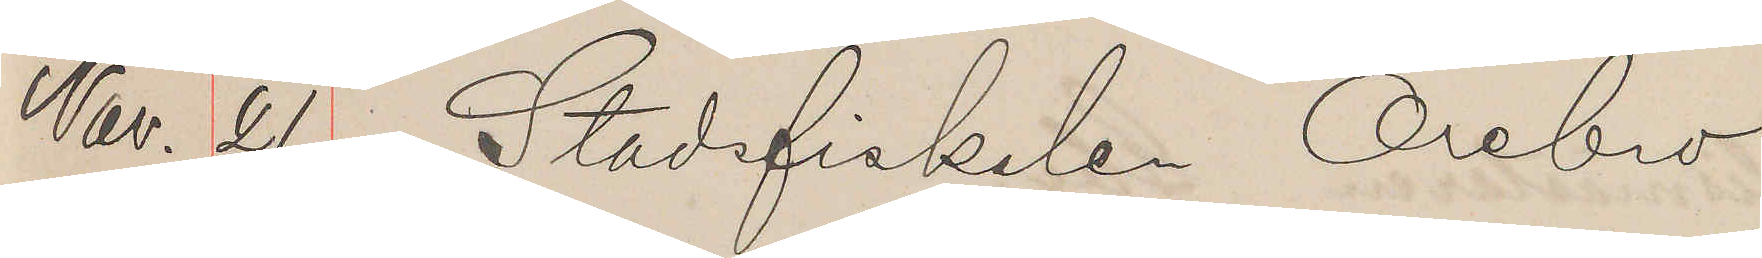Nov. 21. Stadsfiskalen Örebro
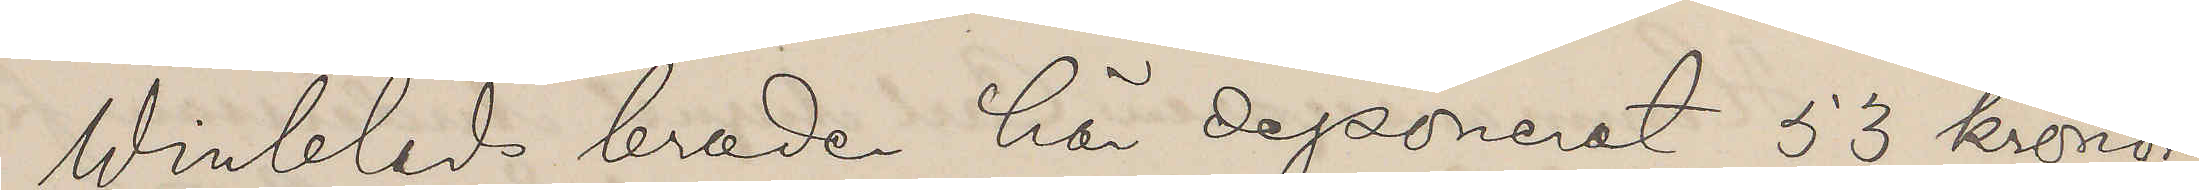Winblads broder här deponerat 53 kronor
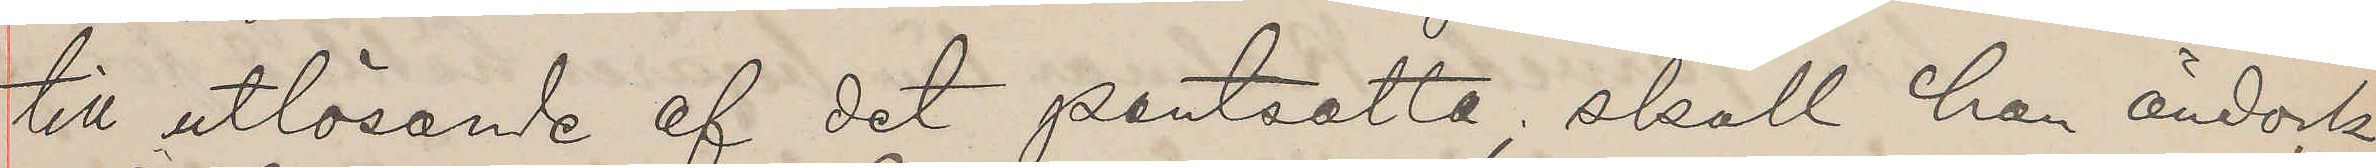till utlösande af det pantsatta, skall han ändock
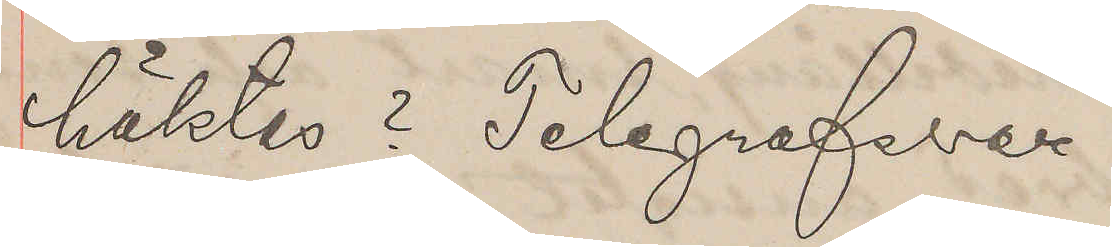häktas? Telegrafsvar.
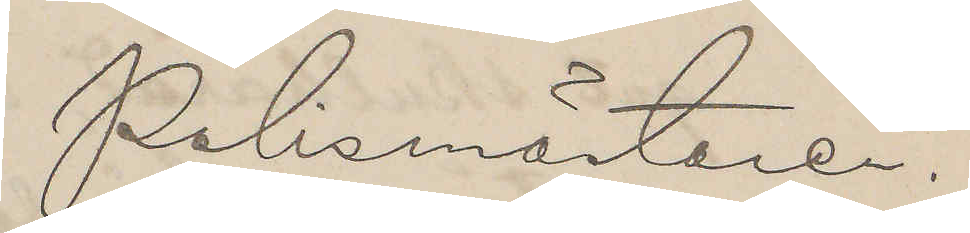Polismästaren.
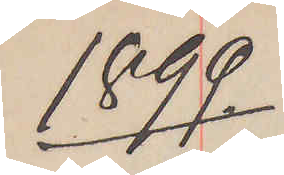1899.
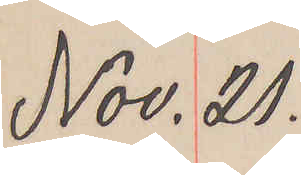Nov. 21.
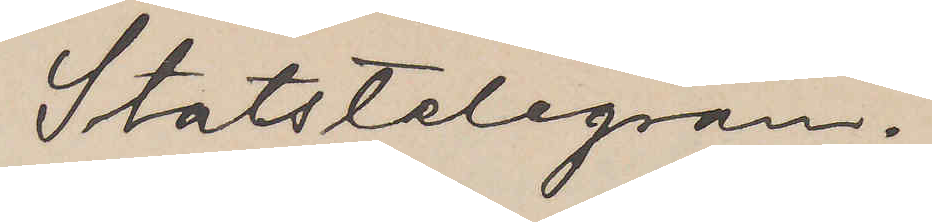Statstelegram.
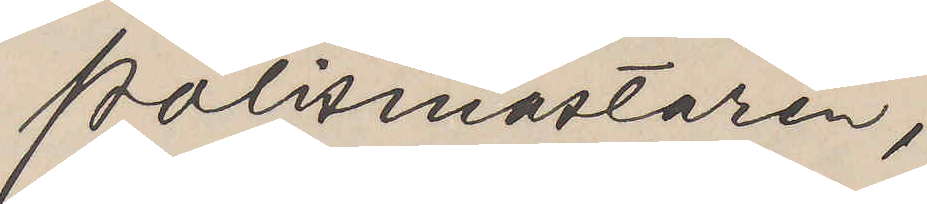Polismästaren,
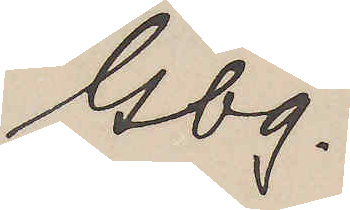Gbg.
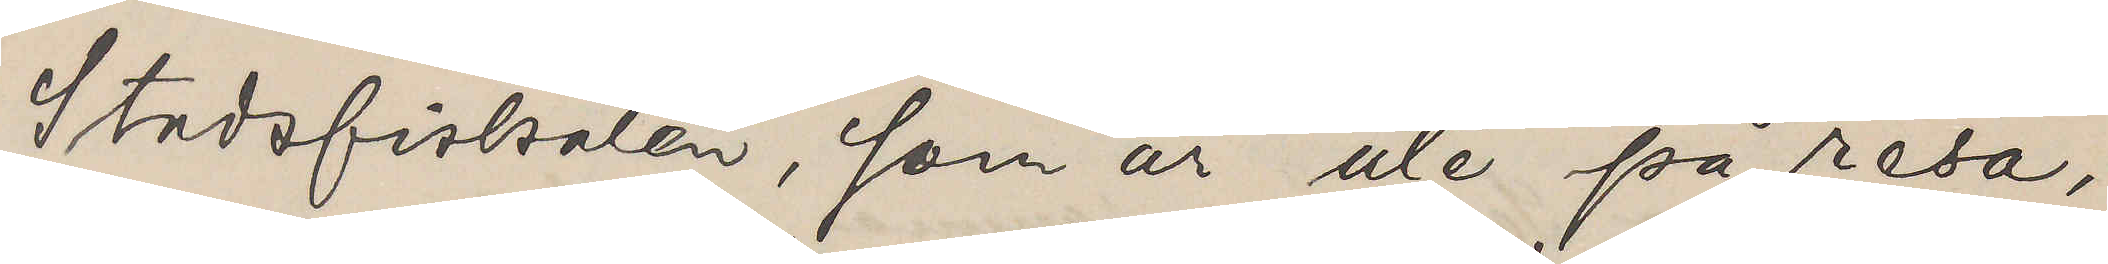Stadsfiskalen, som är ute på resa,
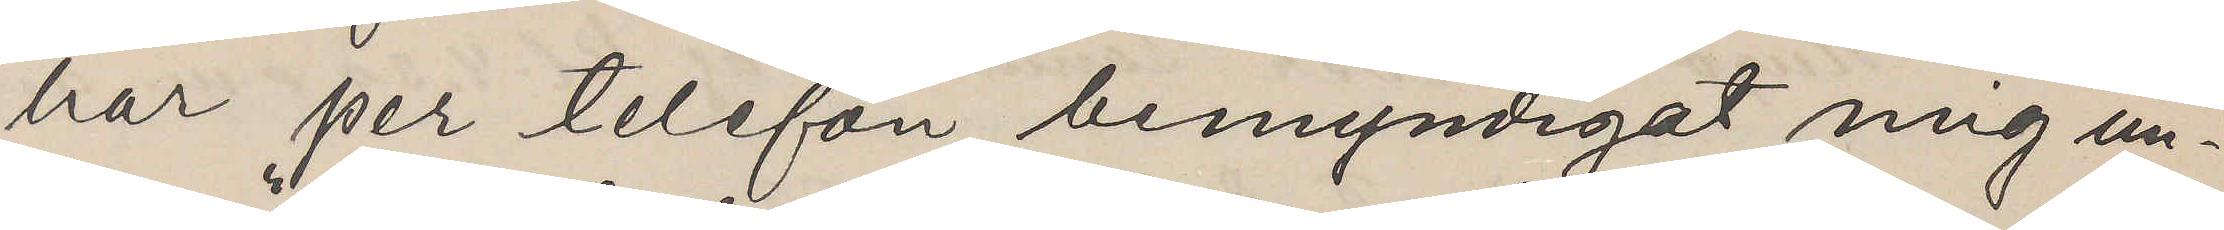har per telefon bemyndigat mig un¬
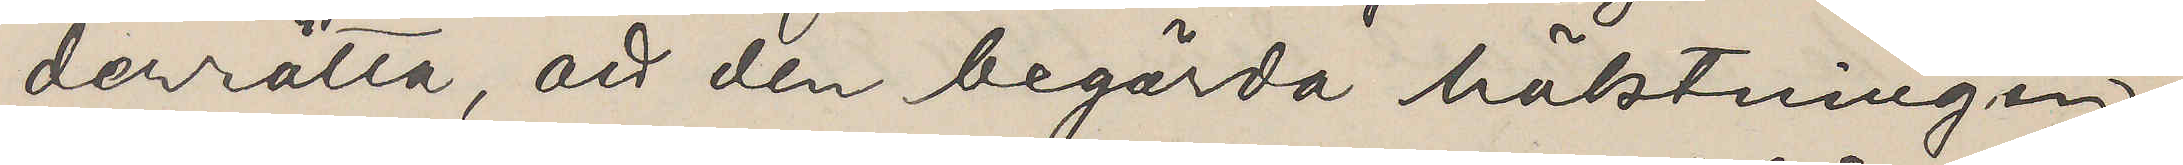derrätta, att den begärda häktningen
